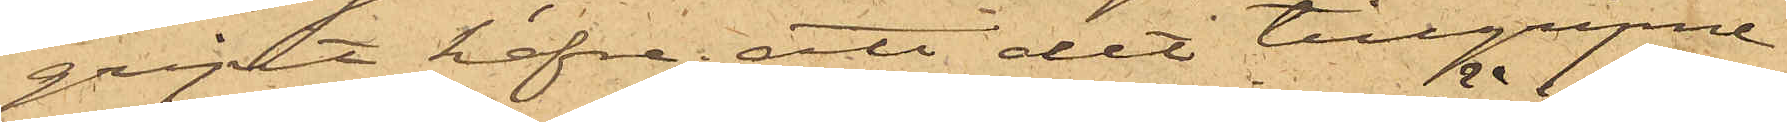gripit hafre; att det tillgripne
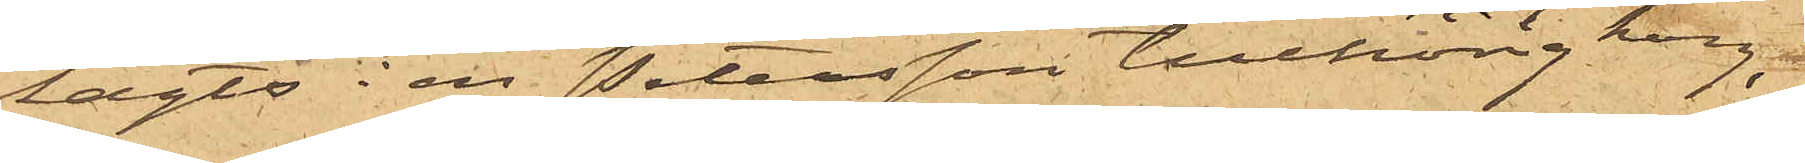lagts i en Petersson tillhörig korg,
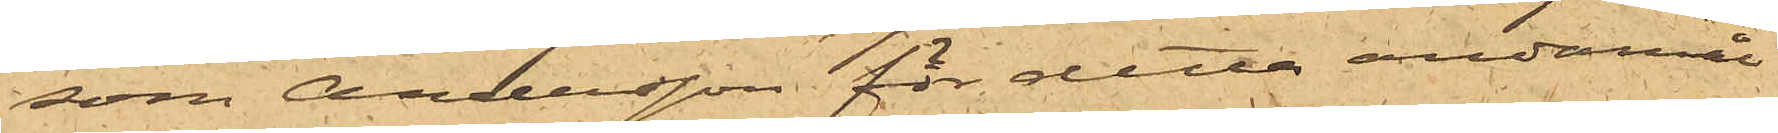som Andersson för detta ändamål
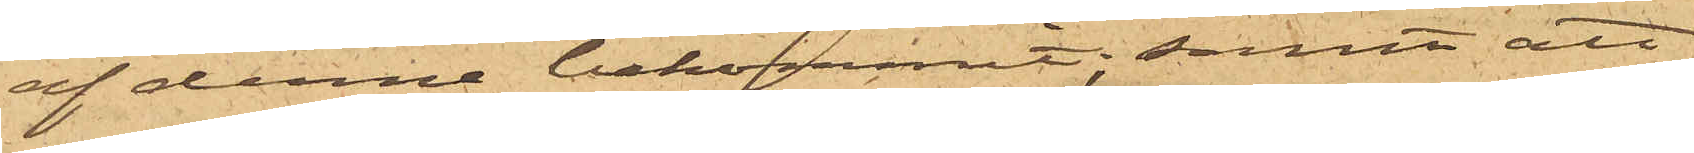af denne bekommit; samt att
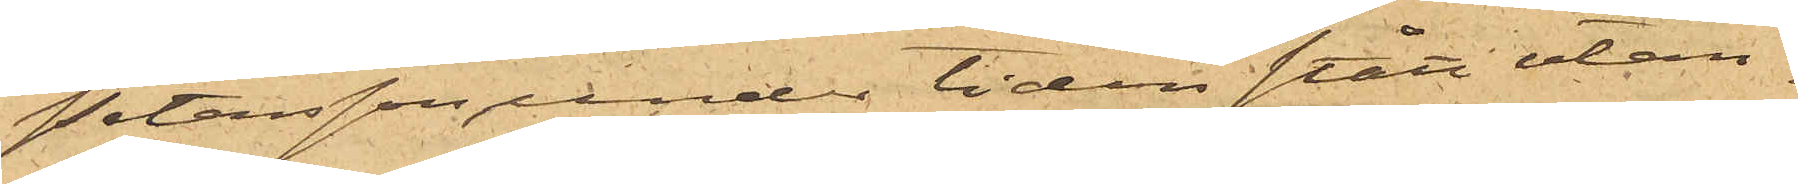Petersson under tiden stått utan¬
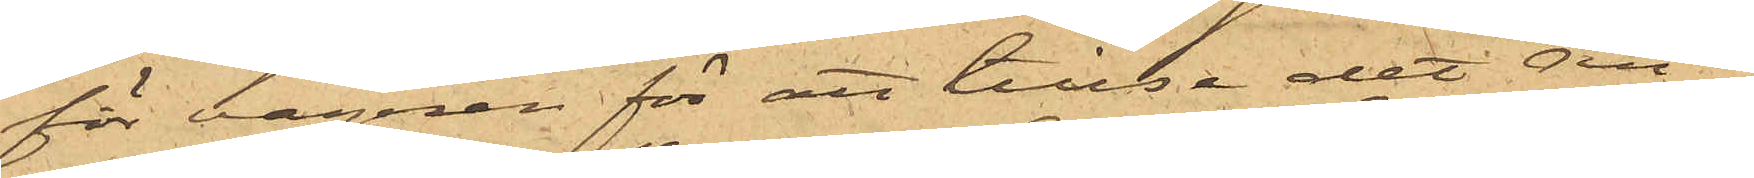för vagnen för att tillse att An¬
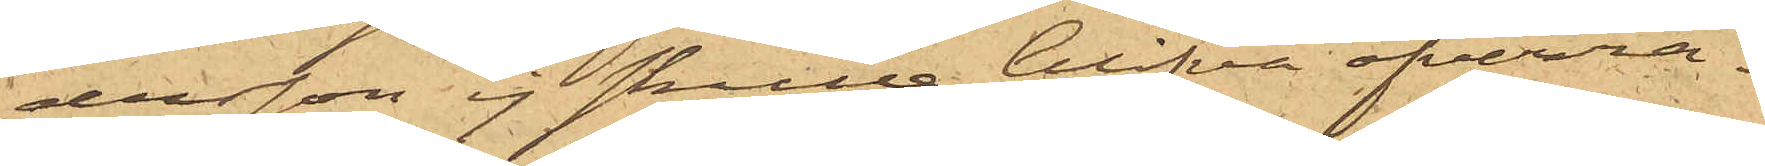dersson ej skulle blifva öfverra¬
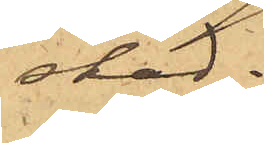skad.
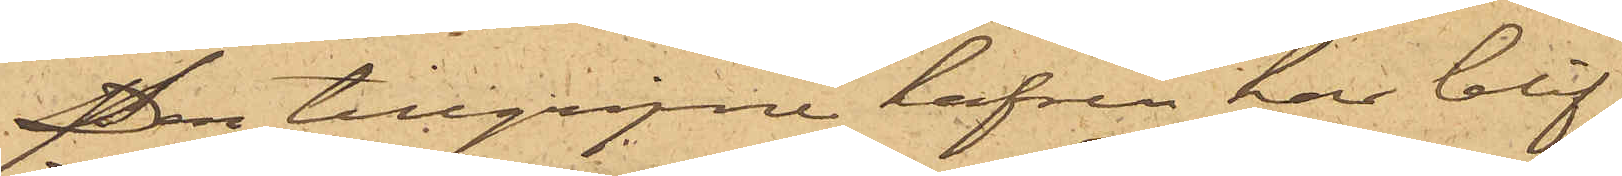Den tillgripne hafren har blif¬
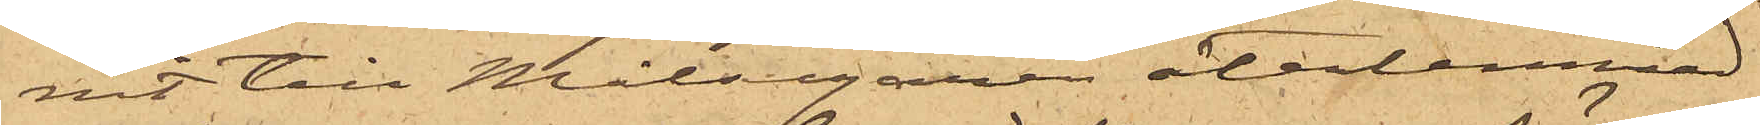vit till Målsegaren återlemnad.
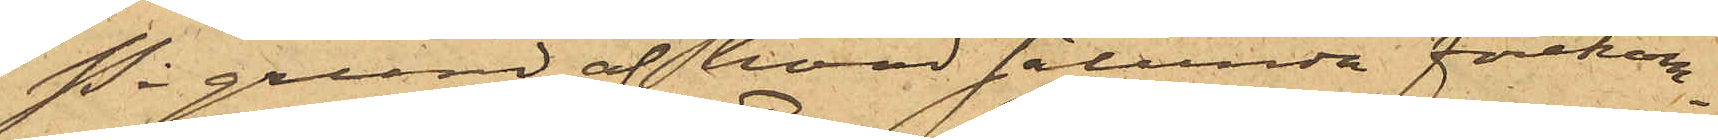På grund af hvad sålunda förekom¬
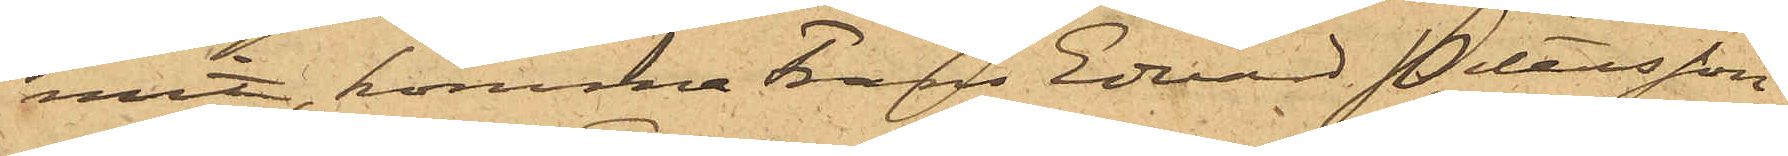mit, komma Frans Edvard Petersson
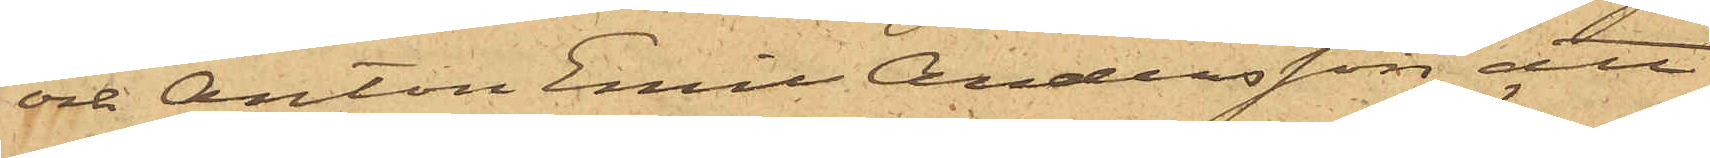och Anton Emil Andersson att
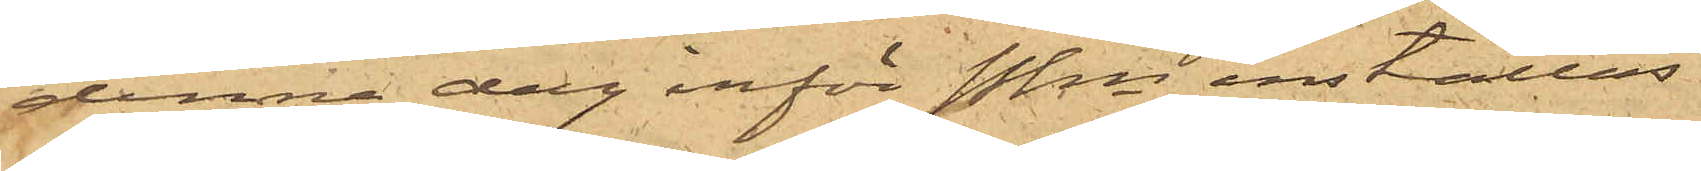denna dag inför Pkn inställas.
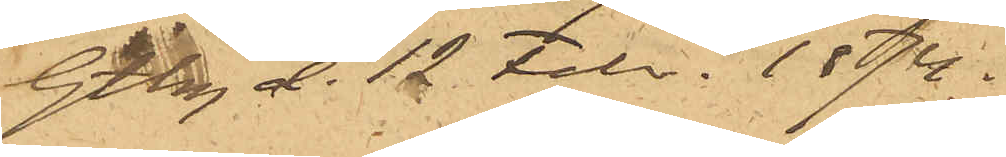Gtbg d. 12 Febr. 1874.
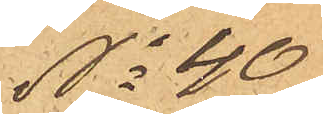No 40
